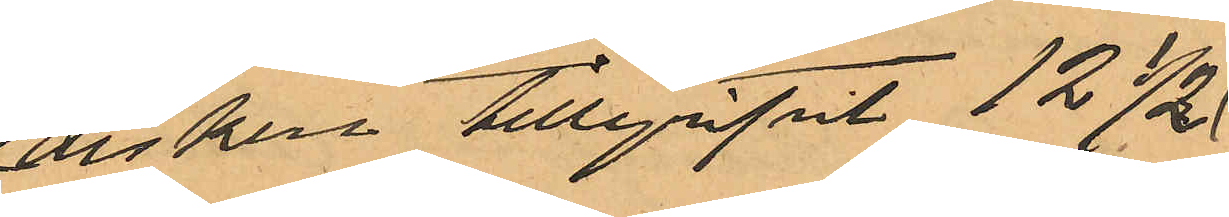disken tillgripit 12 ½
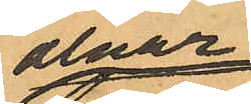alnar
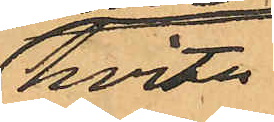hvita
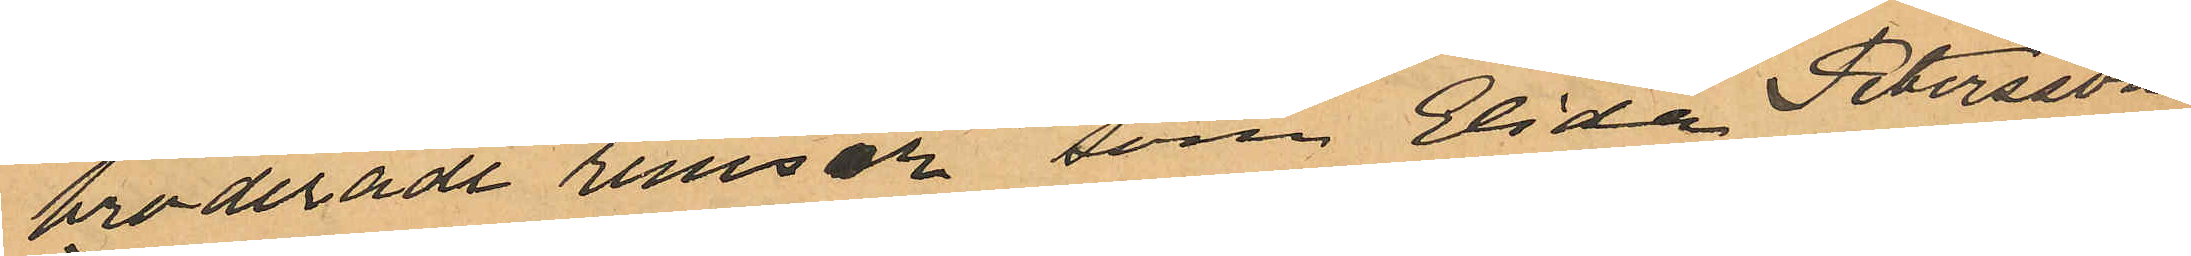broderade remsor som Elida Petersson
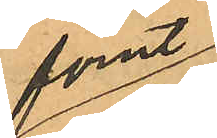för¬
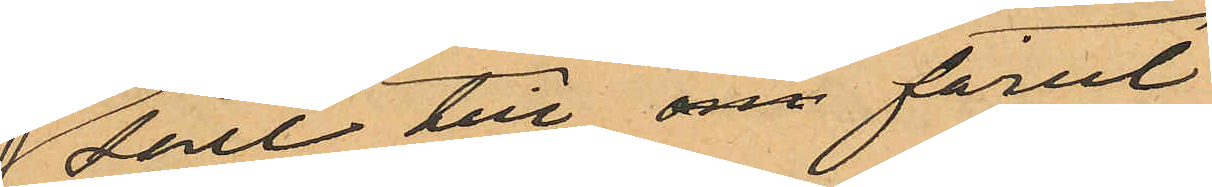sålt till om förut
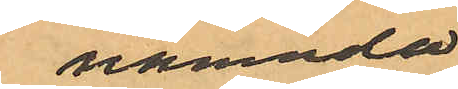nämnda
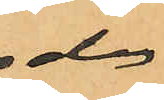dag
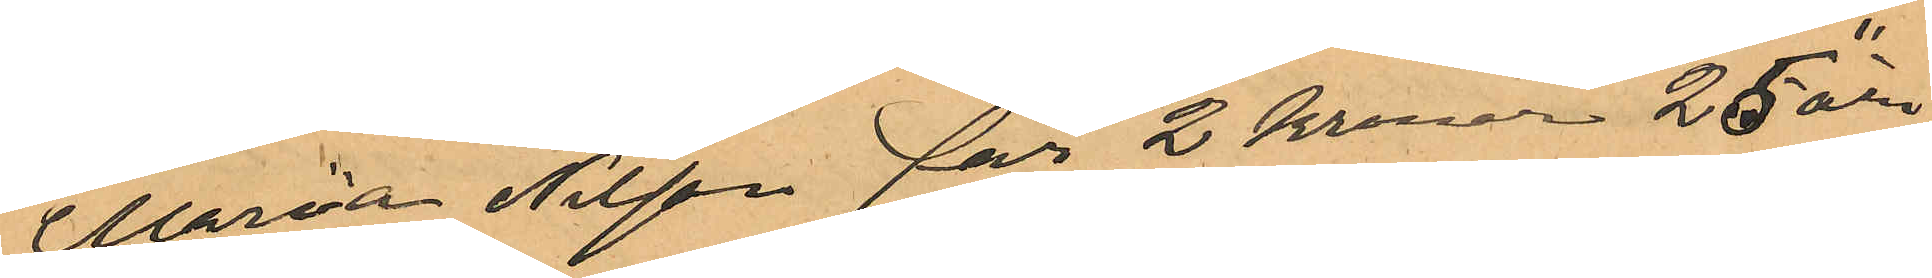Marria Nilsson för 2 kronor 25 öre;
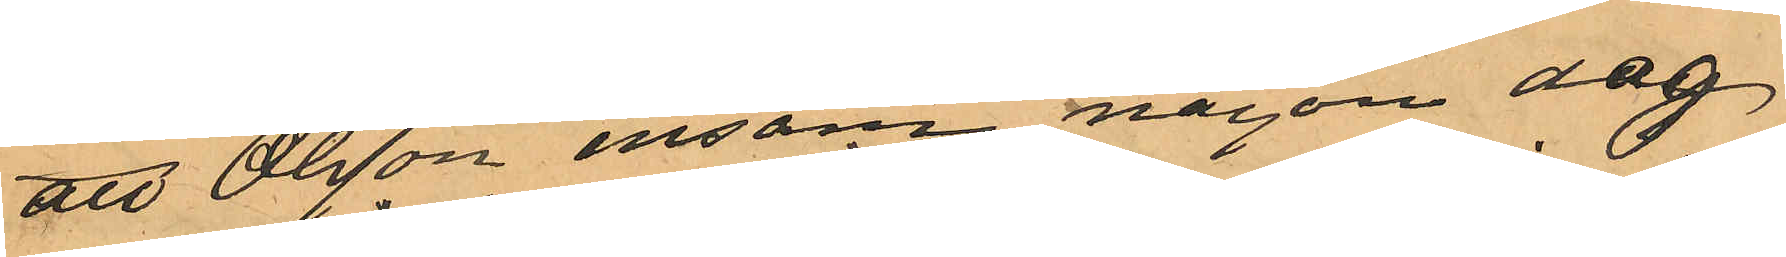att Olsson ensam någon dag
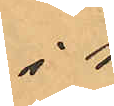i
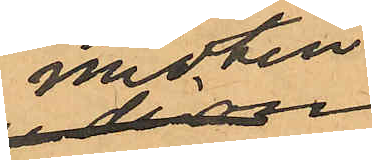mitten
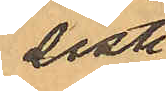sist
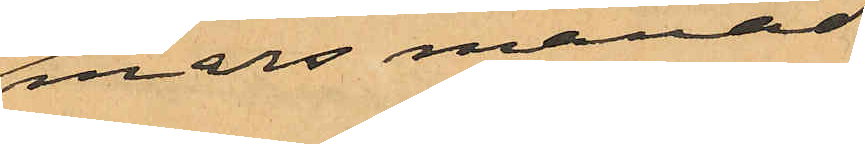mars månad
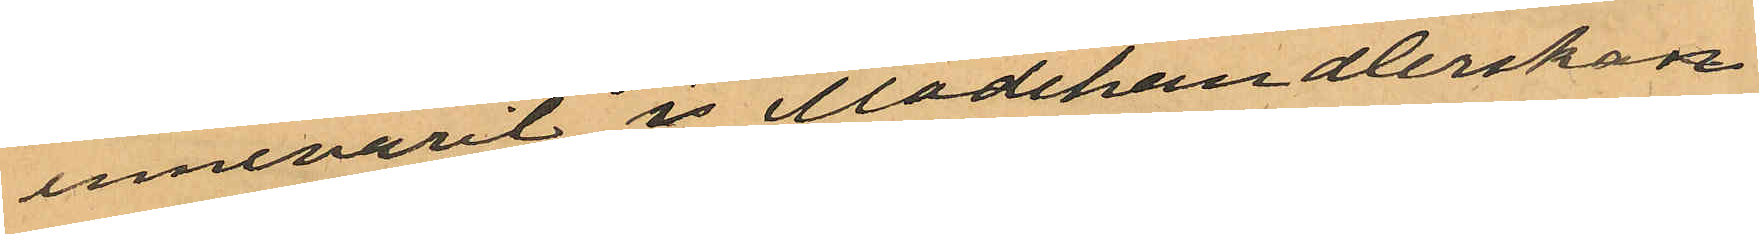innevarit i Modehandlerskan
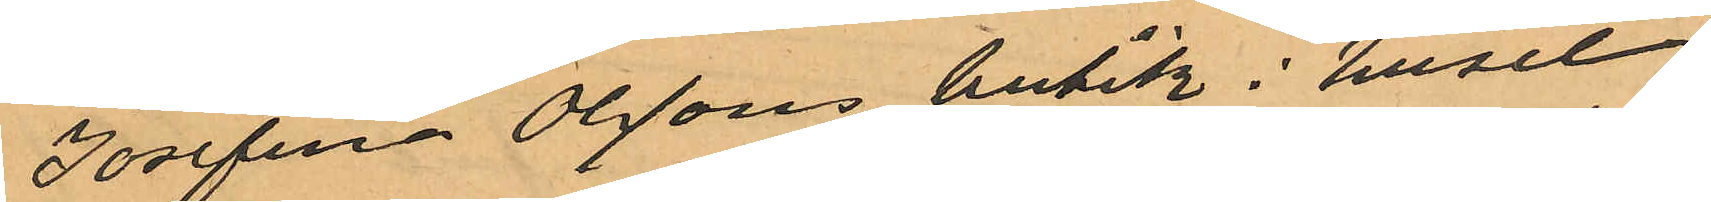Josefina Olssons butik i huset
